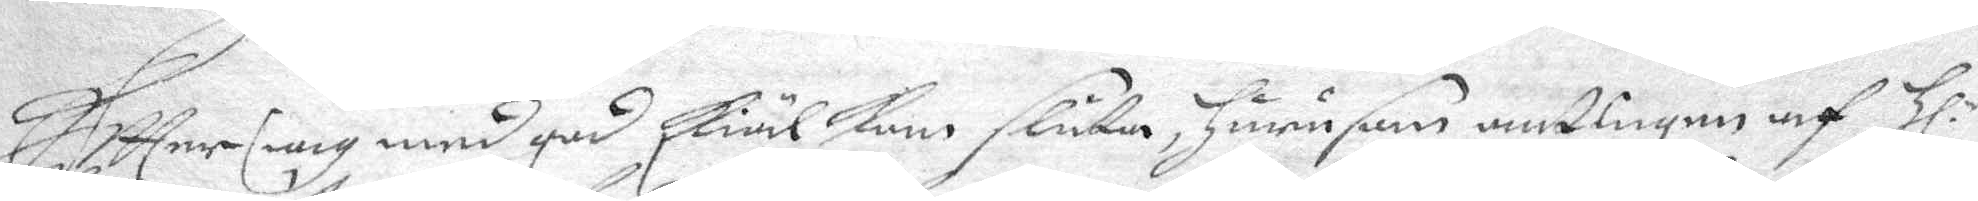Haffer iag med god skiäl kan sluta, hurusom antingen af Hl.r
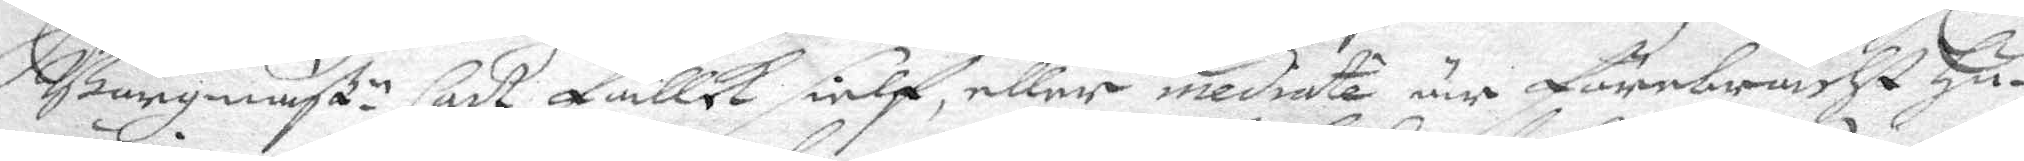Borgmäß.r Carl Falck sielp, eller mediate är förebracht Hu¬
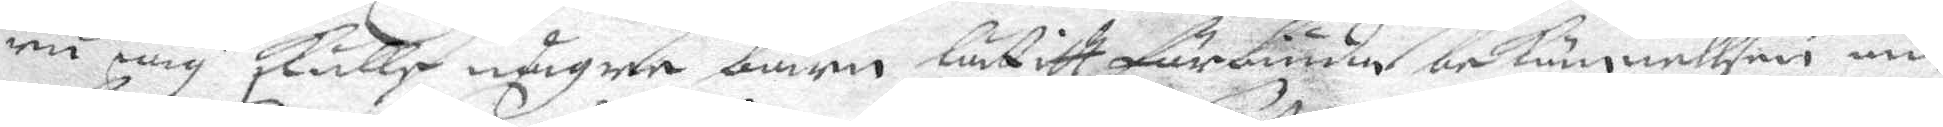ru iag Skulle någre barno lätitt förbiuda bekännellsen an¬
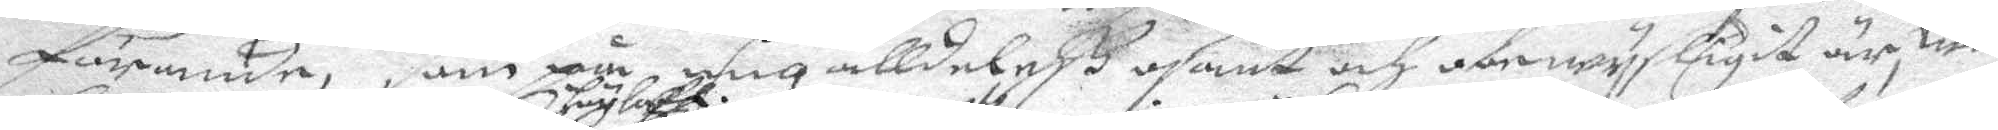förande, som på, mig alldeless  osant och obewysligit är, will
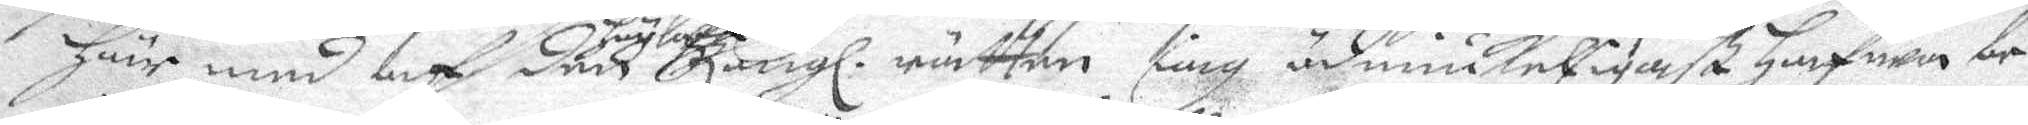här med af den höglofl. Kongl. rätten iag ödmiukeligast Hafwa be¬
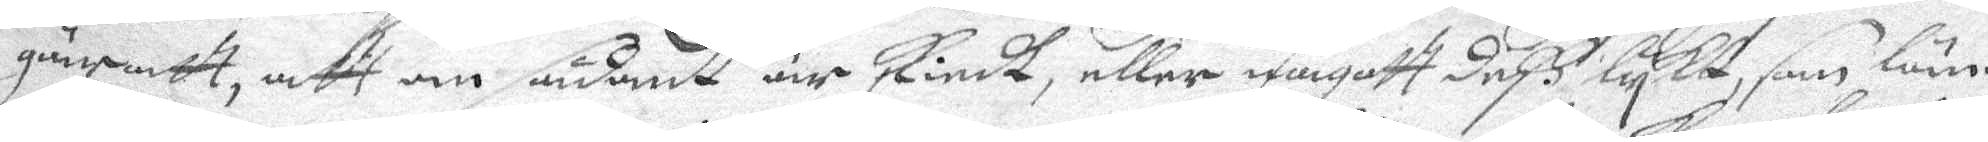gäratt, att om sådant är skiedt, eller någott Deß lykt, som Län¬
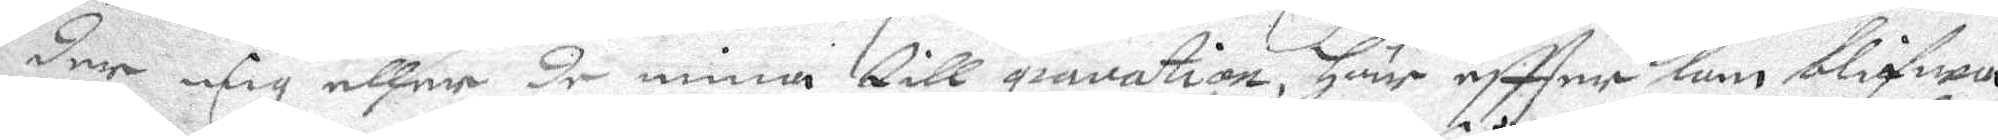dr mig eller de mina till gravation, här effter kan blifwa
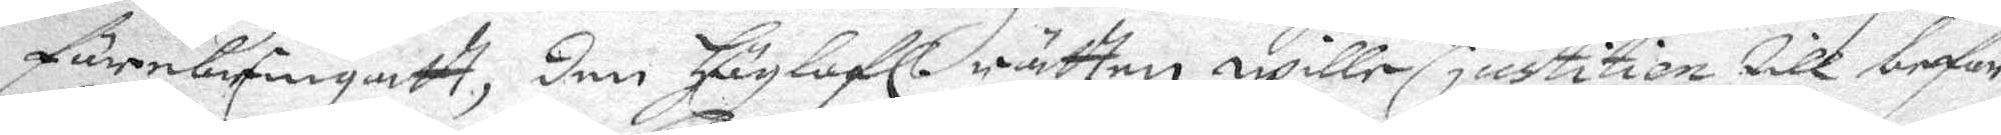förebefingatt, den Höglofl. rätten wille, justition till befor¬
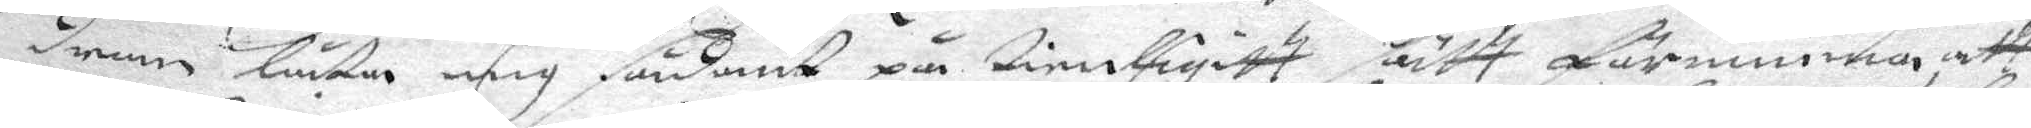dran låta mig sådant på tienligitt sätt förnimma att
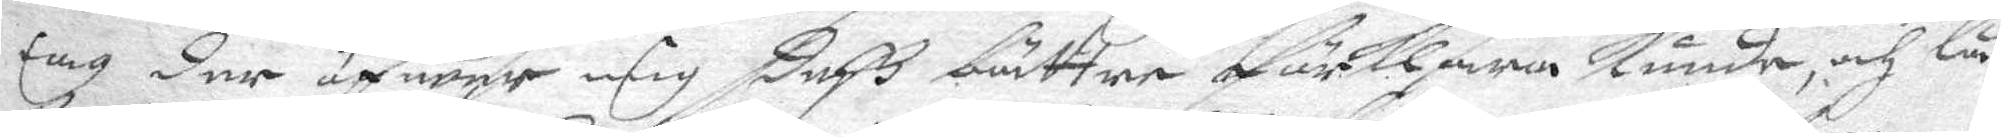iag der öfwer mig deß bättre förklara Kunde, och Lå¬
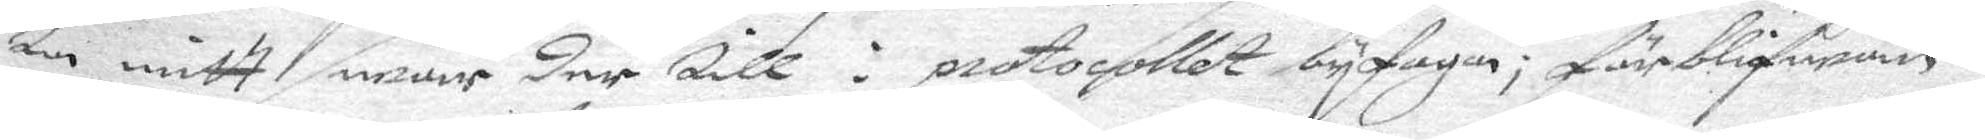ta mitt swar der till i protocollet bifoga; förblifwan¬
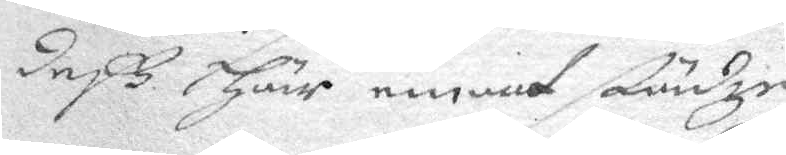deß Här emot städze
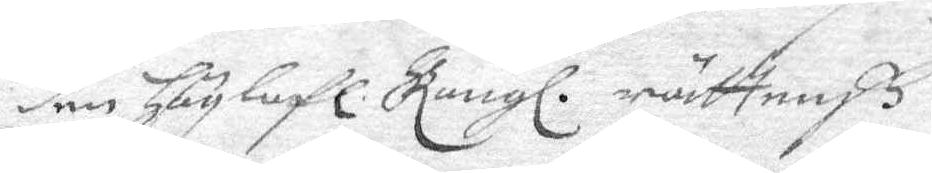den Höglofl. Kongl. rättenß
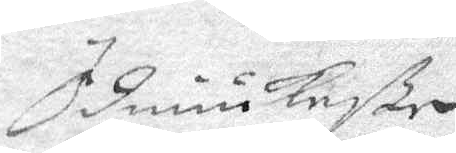Ödmiukeßte
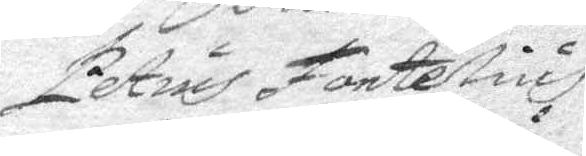Petrus Fontelius
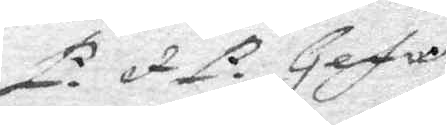P. et P. Gefle
